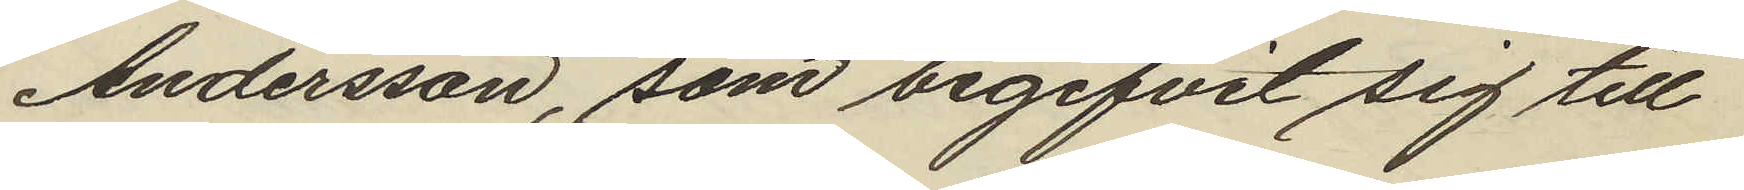Andersson, som begifvit sig till
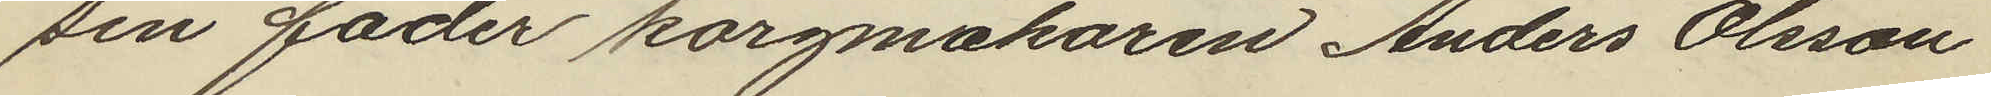sin fader korgmakaren Anders Olsson
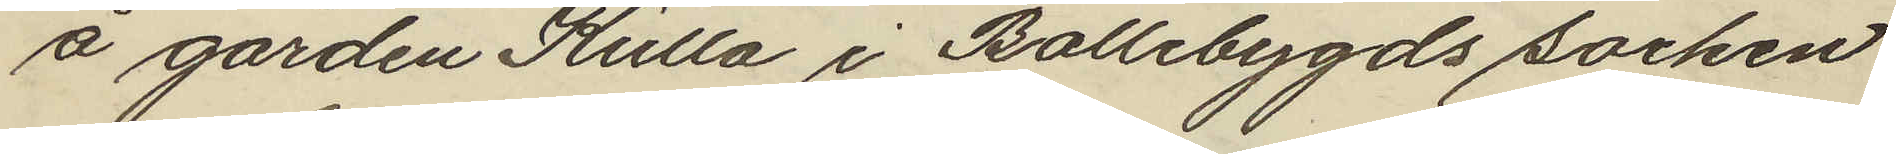å gården Kulla i Bollebygds socken
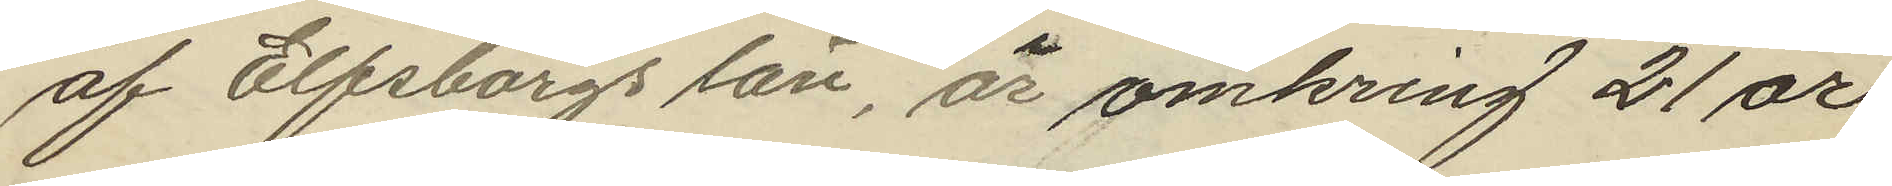af Elfsborgs län, är omkring 21 år
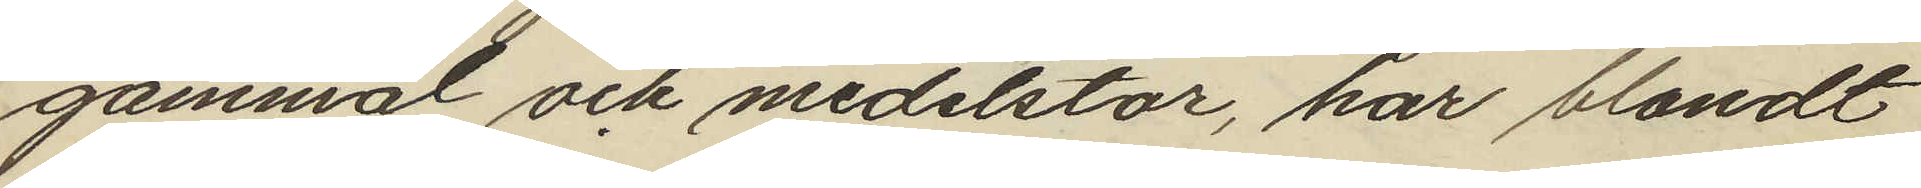gammal och medelstor, har blondt
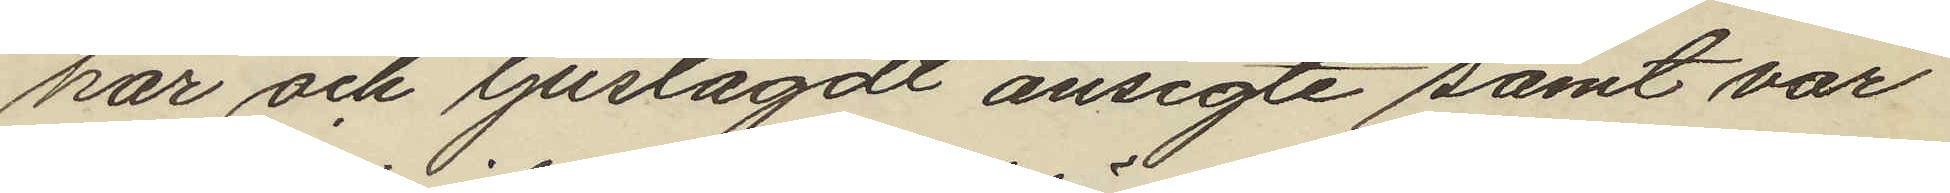hår och ljuslagdt ansigte samt var
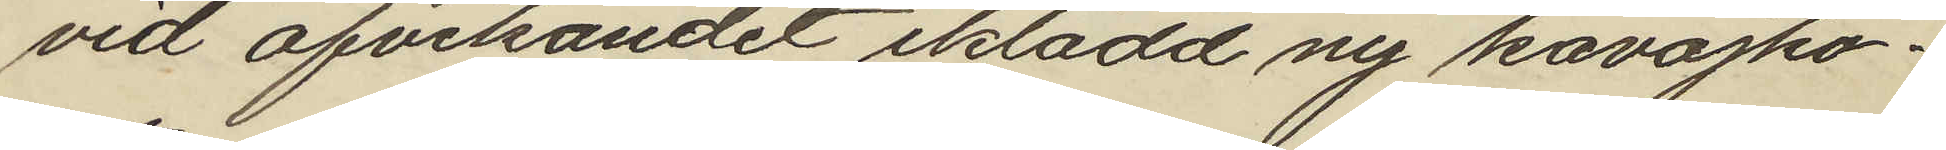vid afvikandet iklädd ny kavajko¬
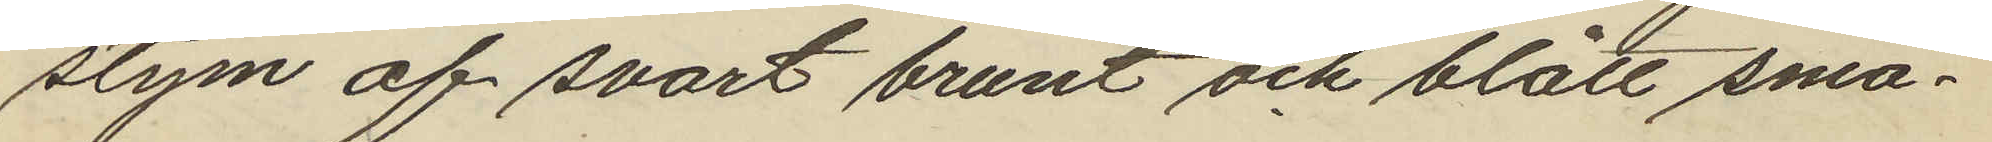stym af svart brunt och blått små¬
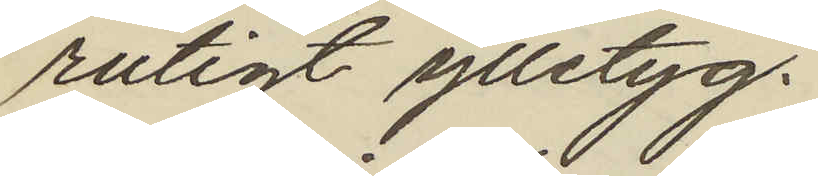rutigt ylletyg.
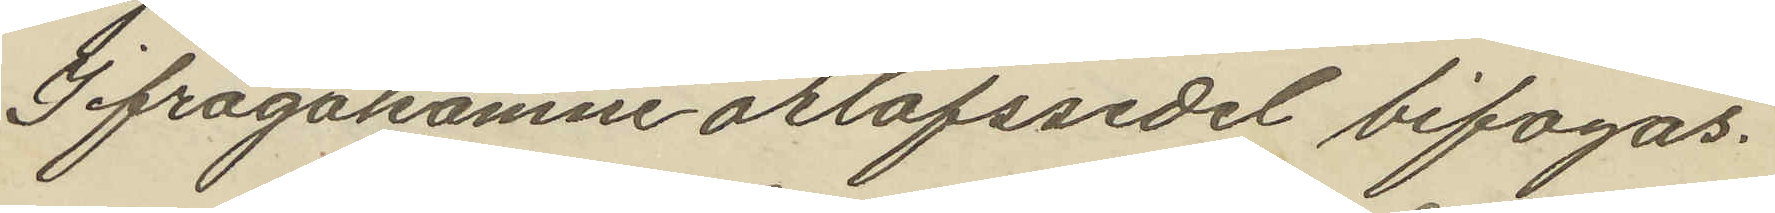Ifrågakomne orlofssedel bifogas.
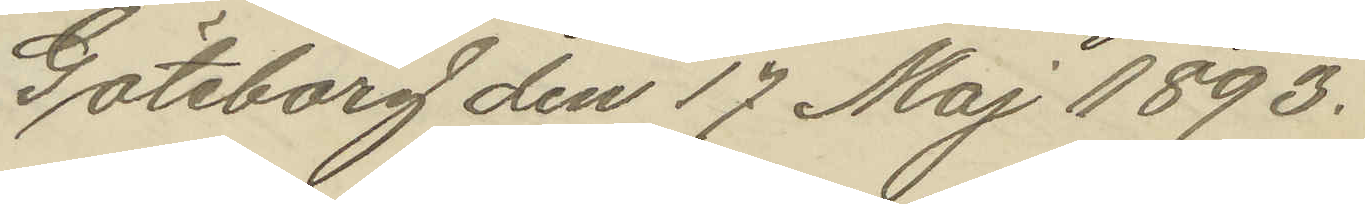Göteborg den 17 Maj 1893.
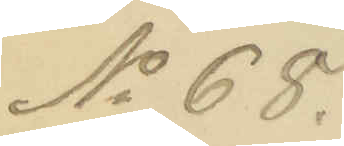No 68.
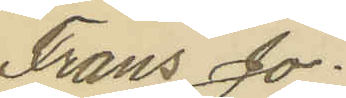Frans Jo¬
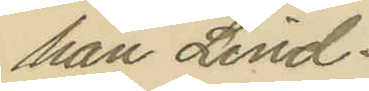han Lind¬
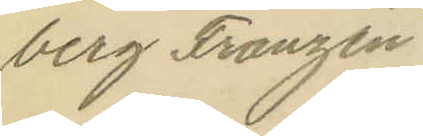berg Franzén
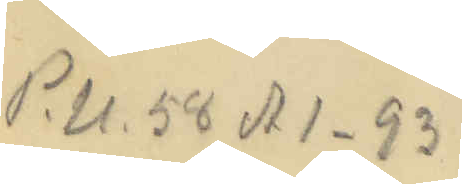P.U. 58 A 1-93
